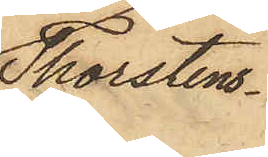Thorstens¬
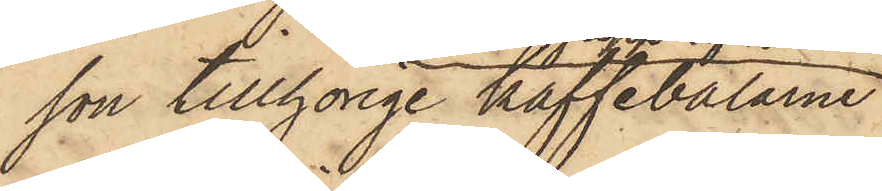son tillhörige kaffebalarne
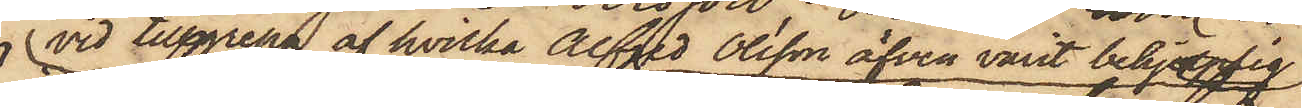vid tillgrepp af hvilka Alfred Olsson äfven varit behjelplig
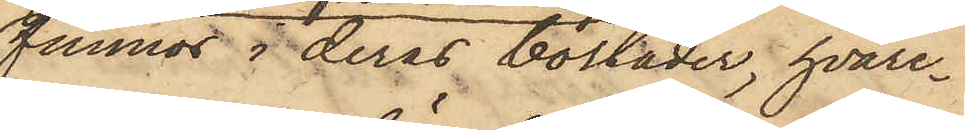funnos i deras bostäder, hvare¬
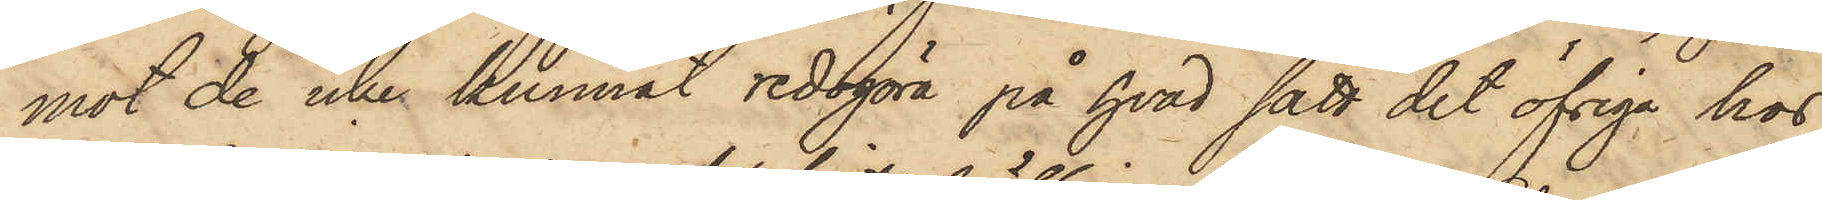mot de icke kunnat redogöra på hvad sätt det öfriga hos
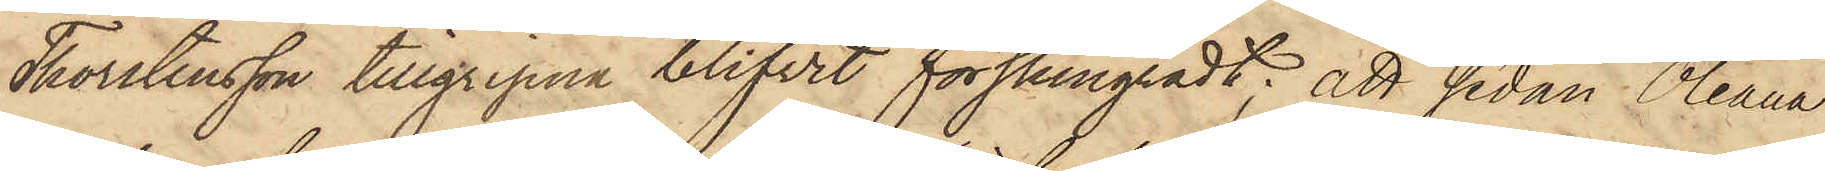Thorstensson tillgripna blifvit förskingradt; att sedan Oleana
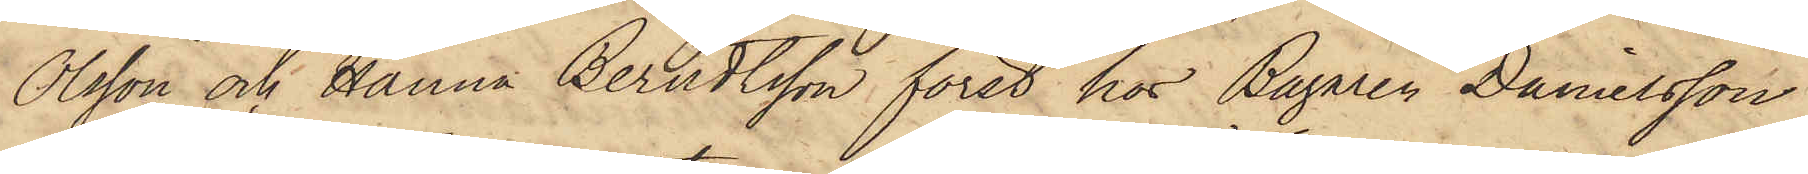Olsson och Hanna Berndtsson först hos Bagaren Danielsson
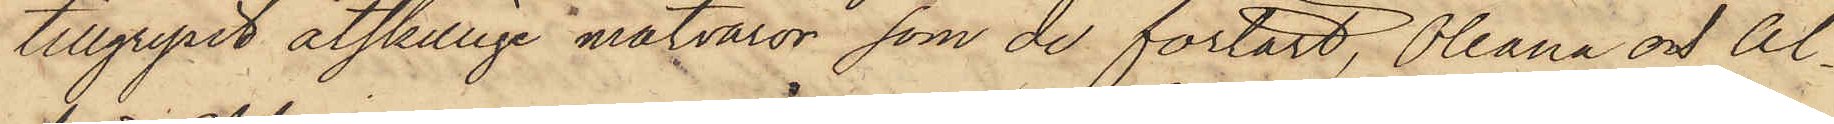tillgripit åtskillige matvaror, som de förtärt, Oleana och Al¬
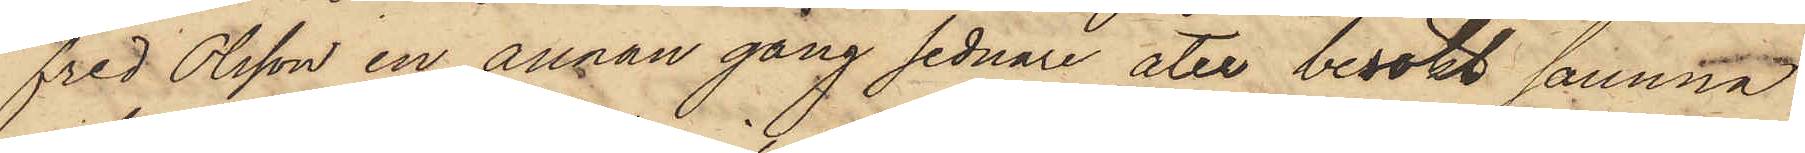fred Olsson en annan gång sednare åter besökt samma
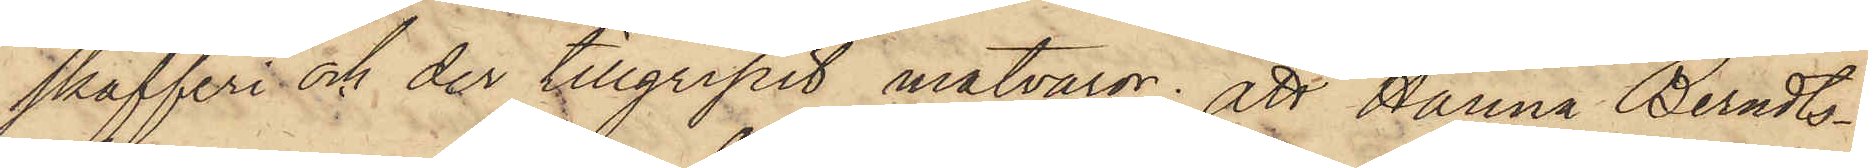skafferi och der tillgripit matvaror; att Hanna Berndts¬
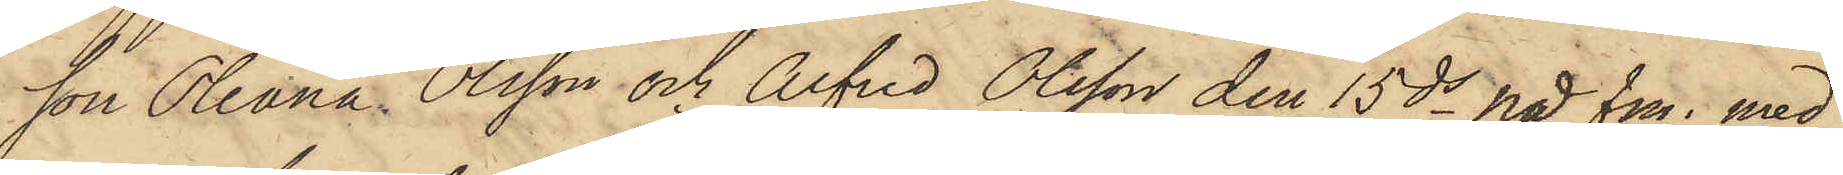son Oleana Olsson och Alfred Olsson den 15 ds på fm. med
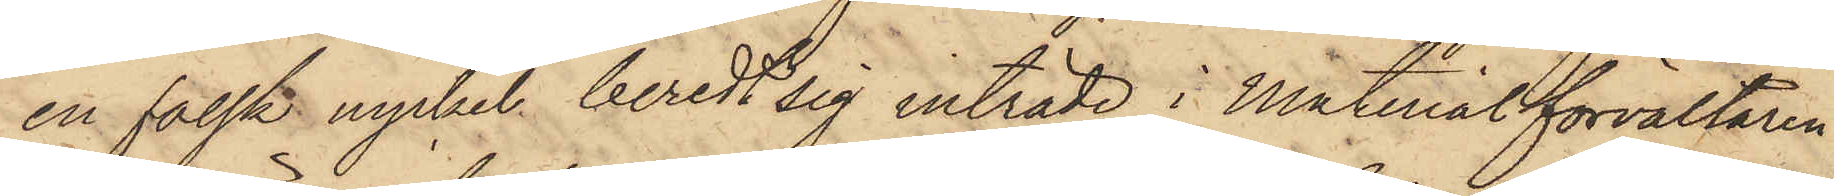en falsk nyckel beredt sig inträde i Materialförvaltaren
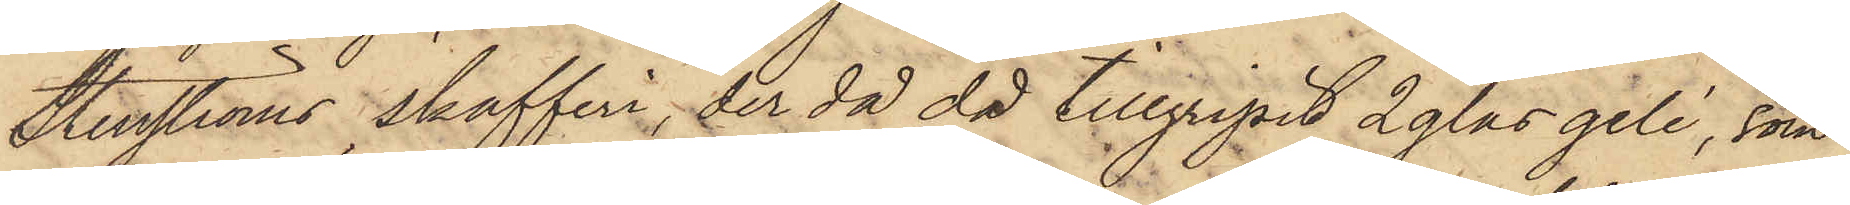Stenströms skafferi, der då då tillgripit 2 glas gelé, som
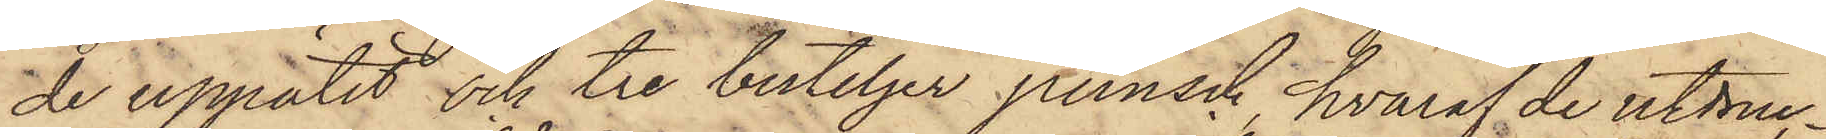de uppätit och tre buteljer punsch, hvaraf de utdruc¬
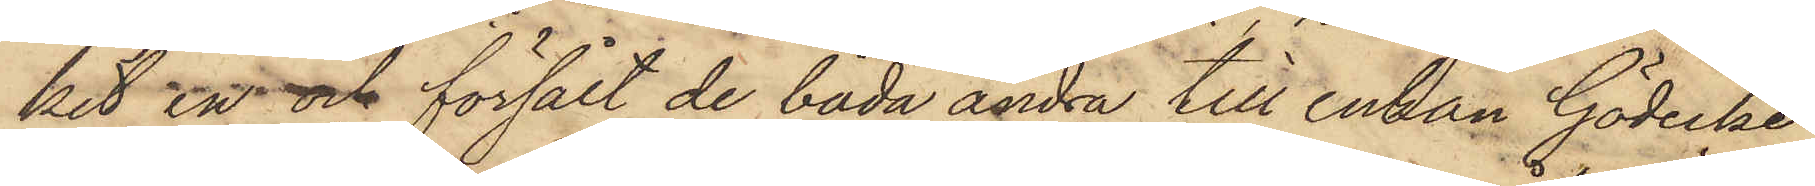kit en och försålt de båda andra till Enkan Gödecke
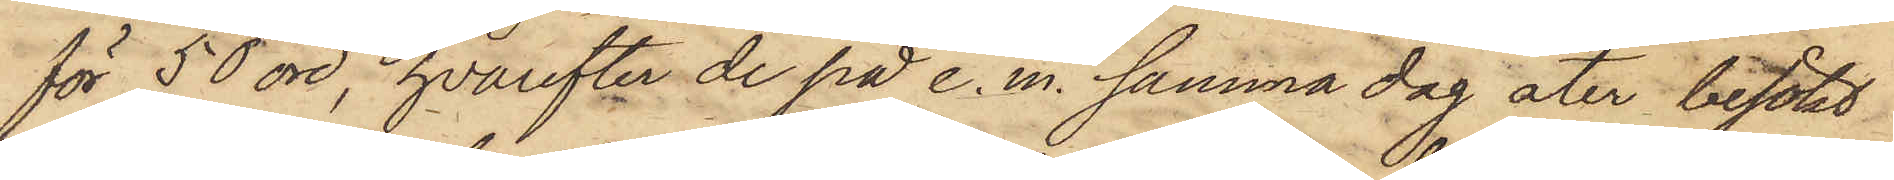för 50 öre, hvarefter de på e. m. samma dag åter besökt
